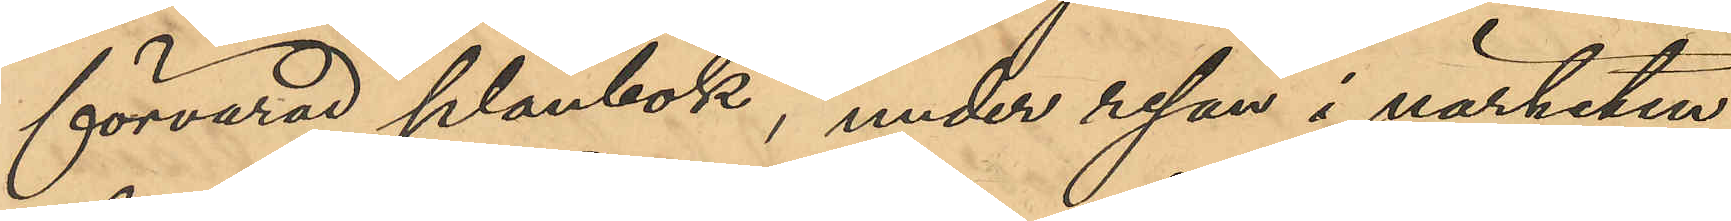förvarad plånbok, under resan i närheten
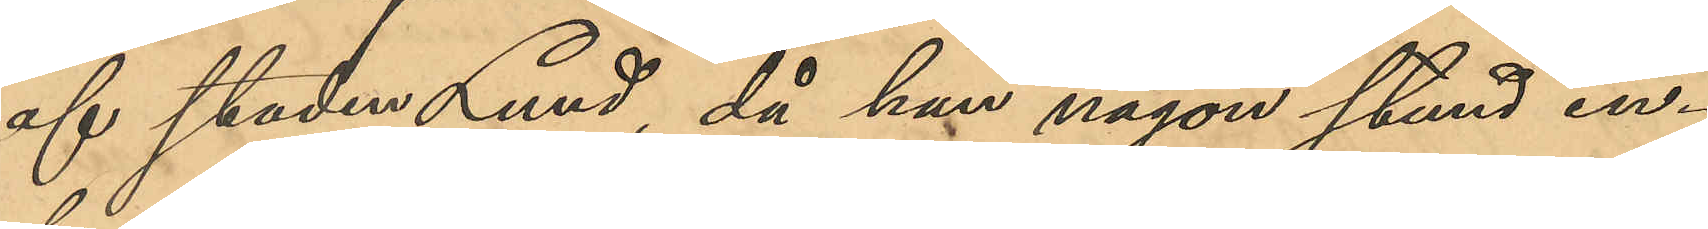af staden Lund, då han någon stund in¬
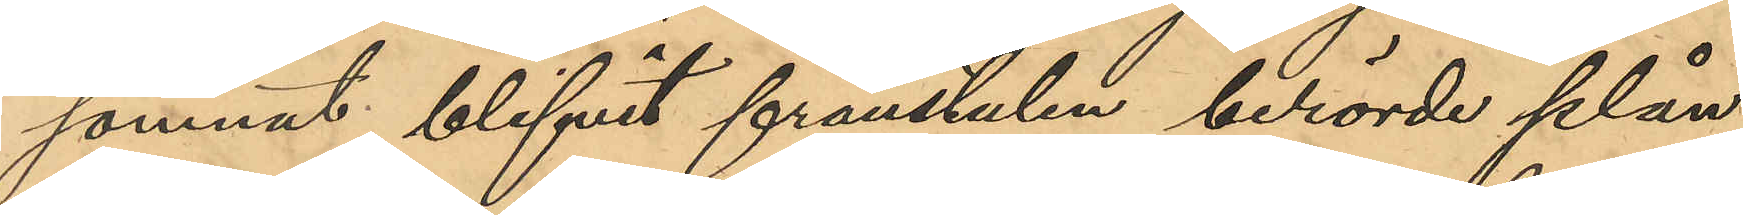somnat, blifvit frånstulen berörde plån¬
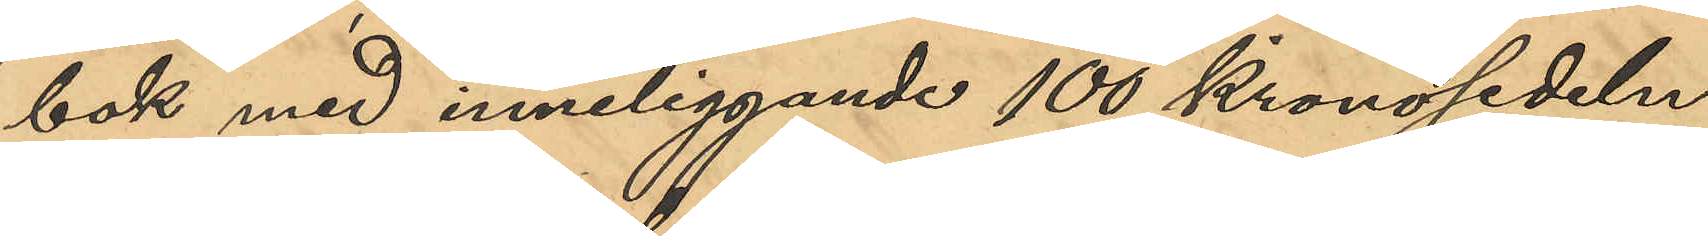bok med inneliggande 100 Kronosedeln;
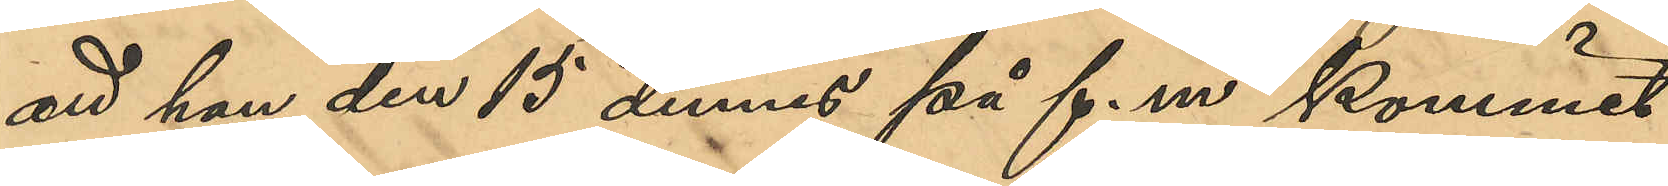att han den 15 dennes på f.m. kommit
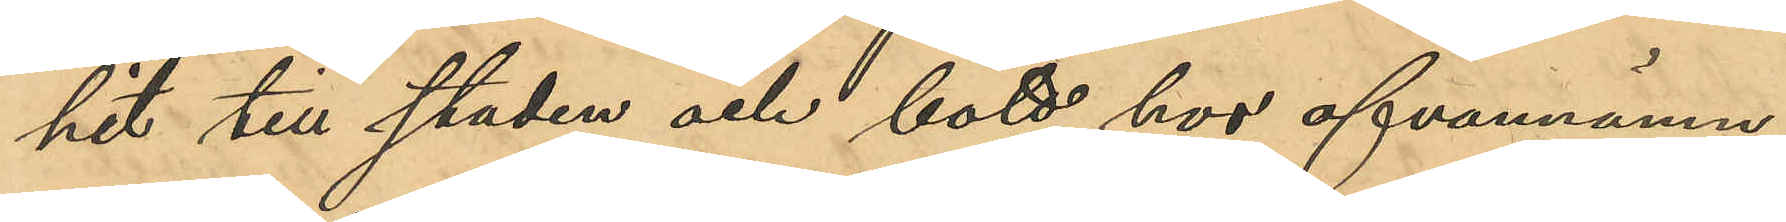hit till staden och bott hos ofvannämn¬
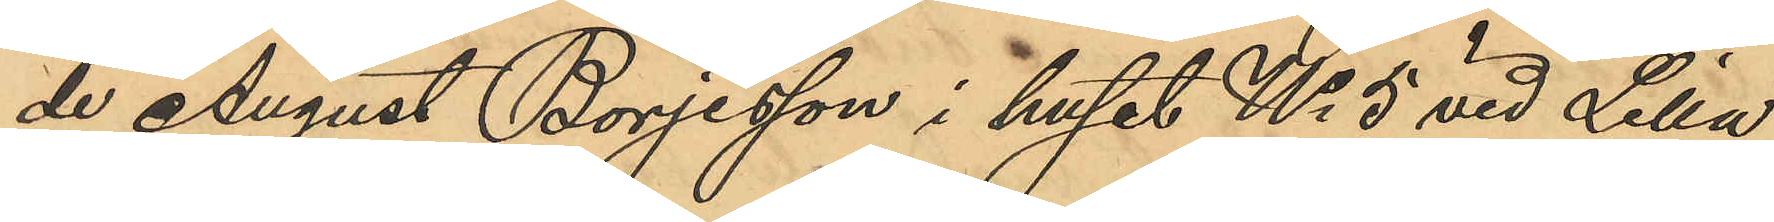de August Börjesson i huset No 5 vid Lilla
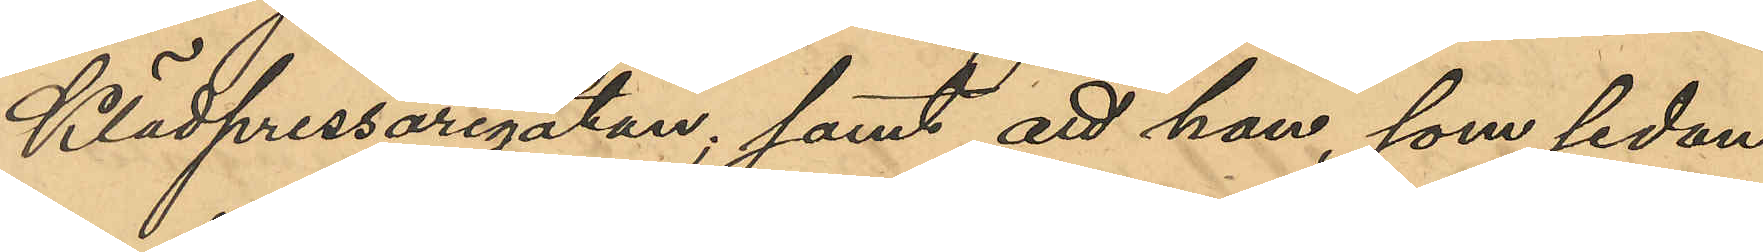Klädpressargatan; samt att han, som sedan
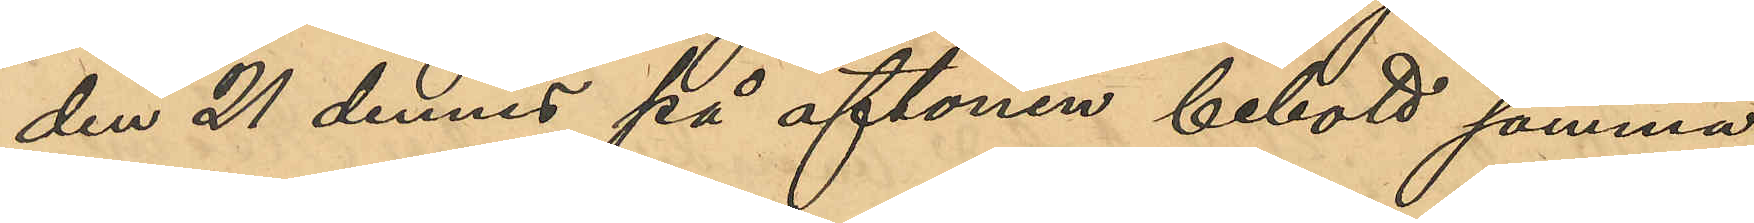den 21 dennes på aftonen bebott samma
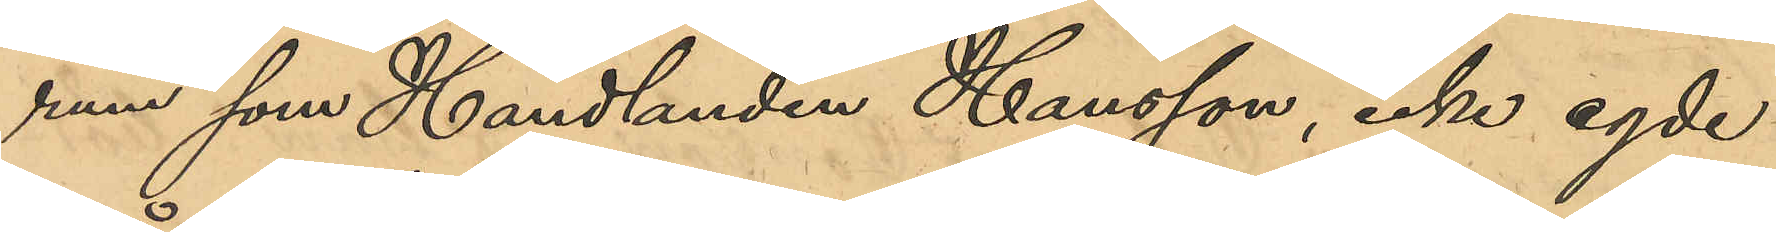rum som Handlanden Hansson, icke egde
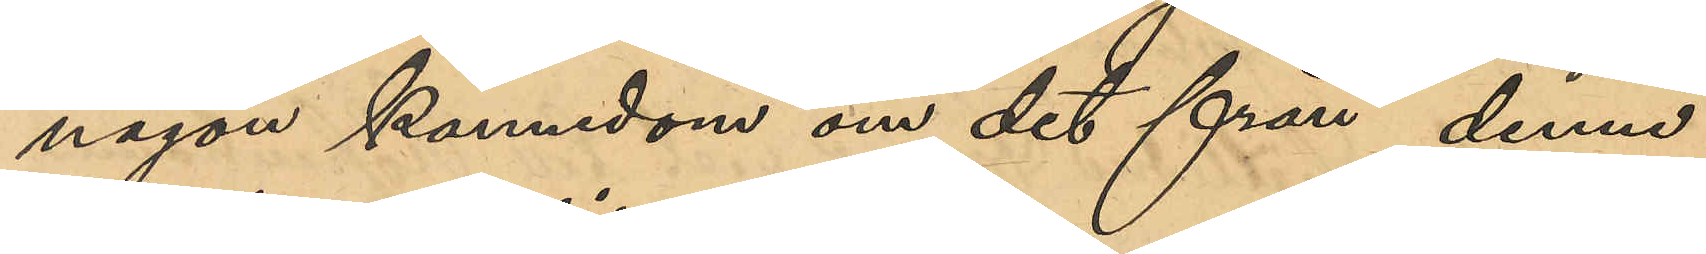någon kännedom om det från denne
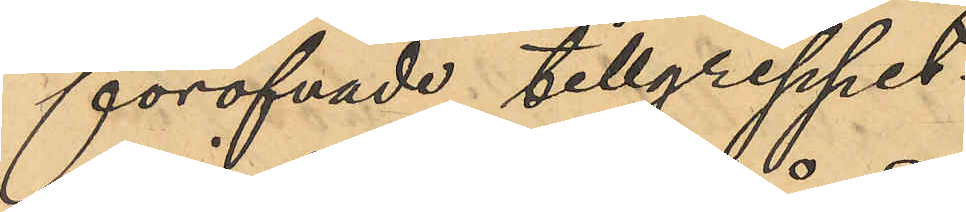föröfvade tillgreppet.
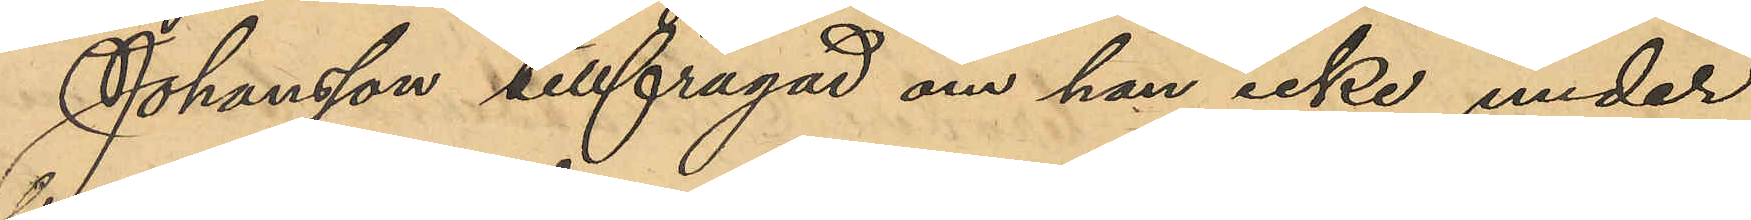Johansson tillfrågad om han icke under
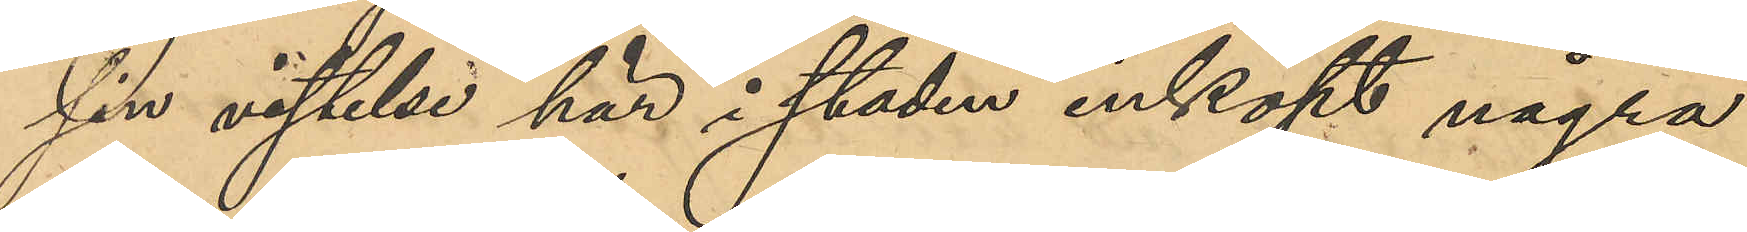sin vistelse här i staden inköpt några
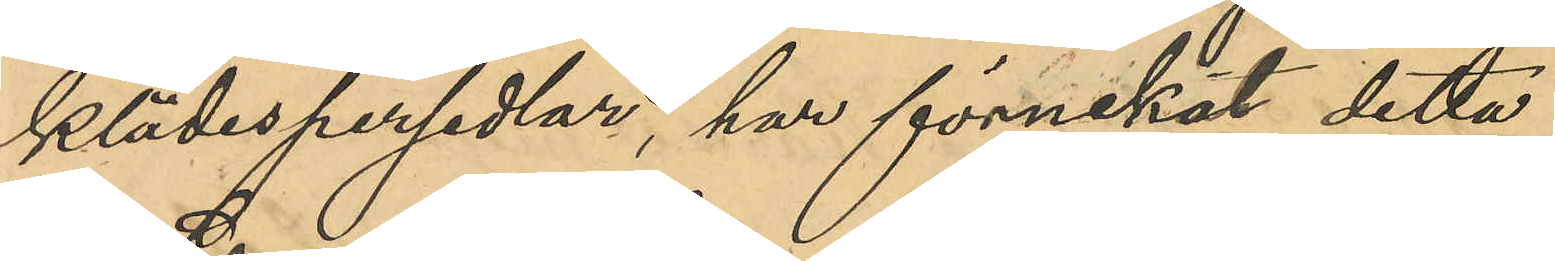klädespersedlar, har förnekat detta.
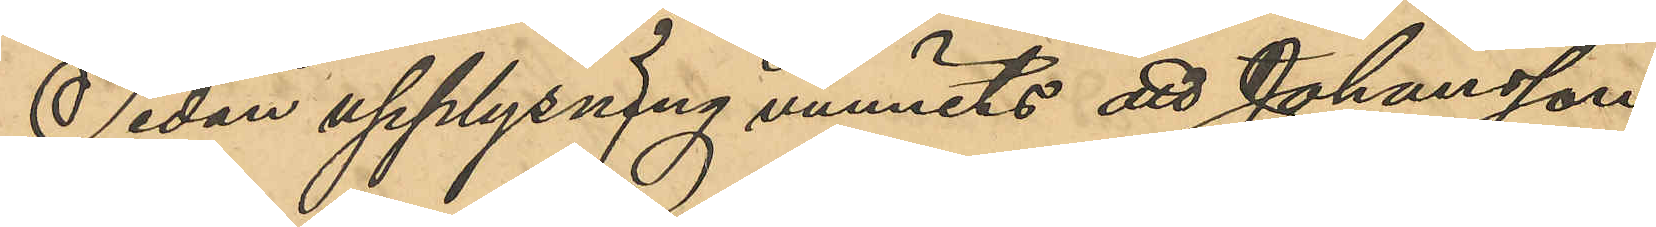Sedan upplysning anmälts att Johansson
